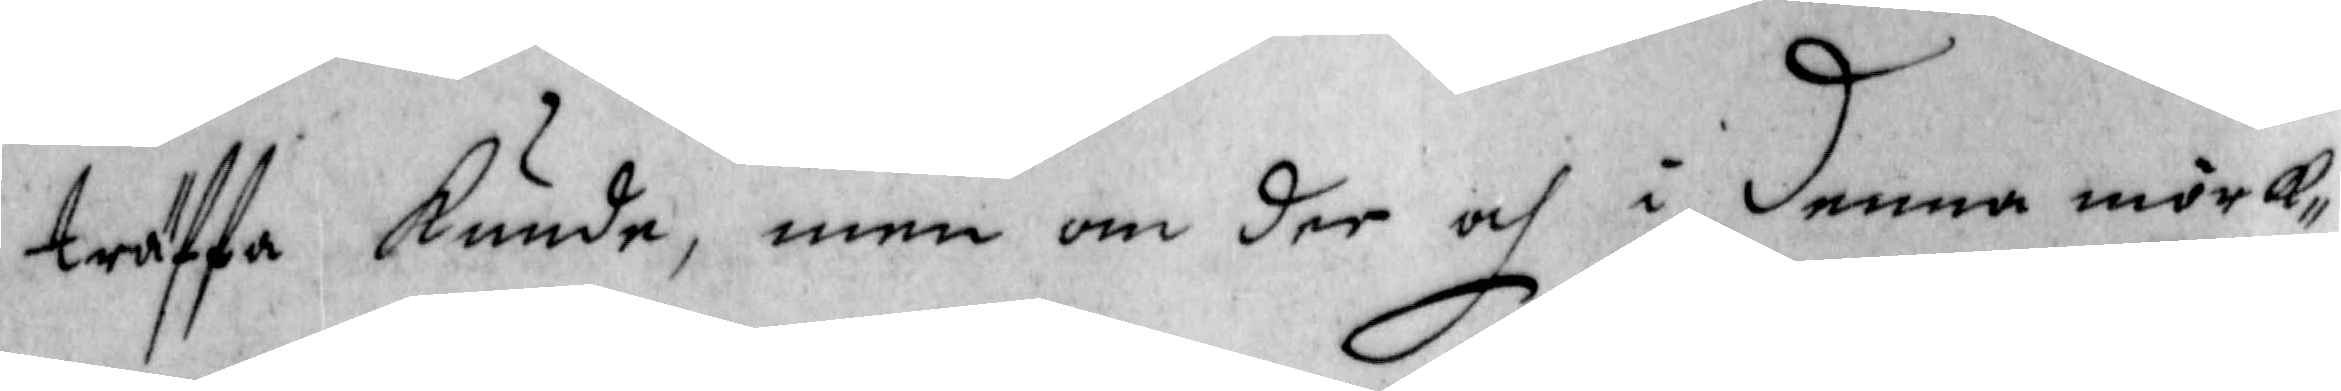träffa  kunde, men om der och i denna mörk¬
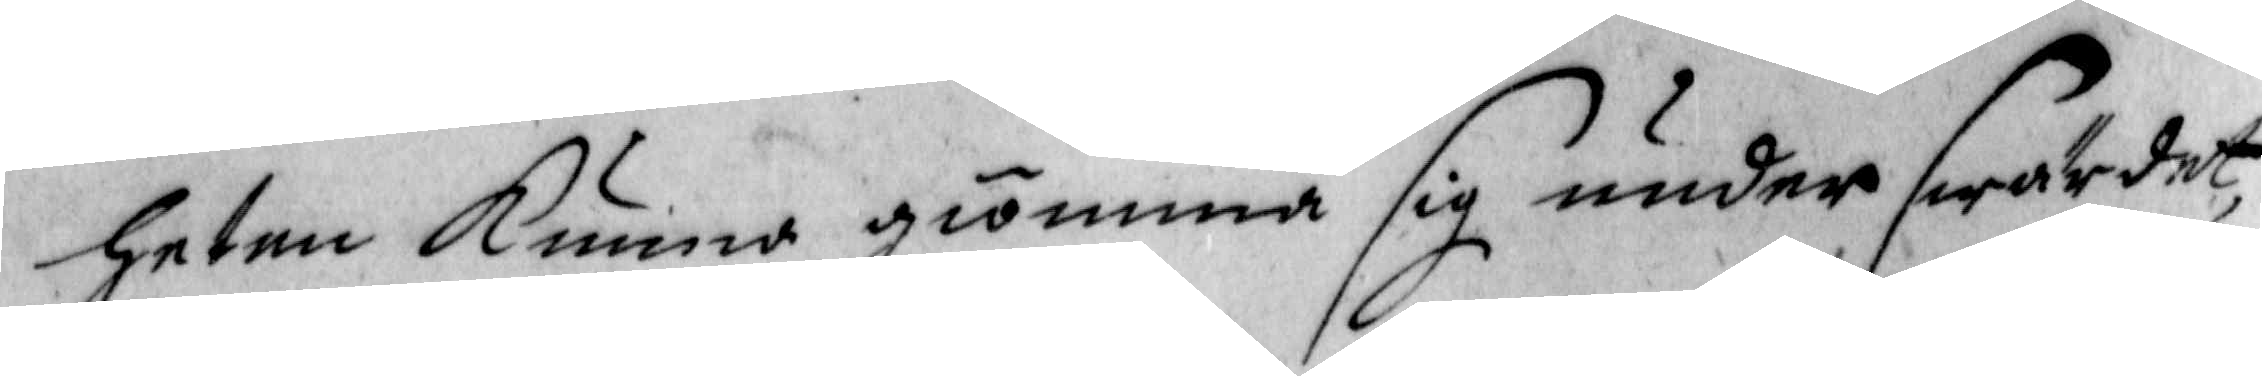heten kunna gömma sig under swärdet,
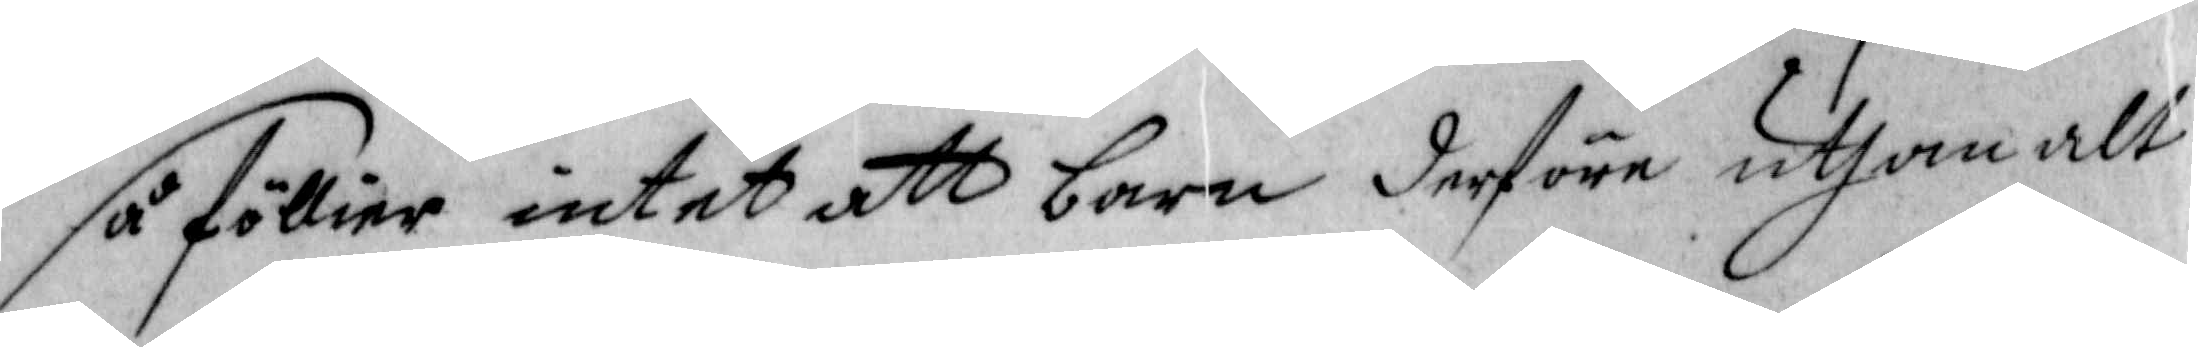så föllier intet att barn derföre uthan alt
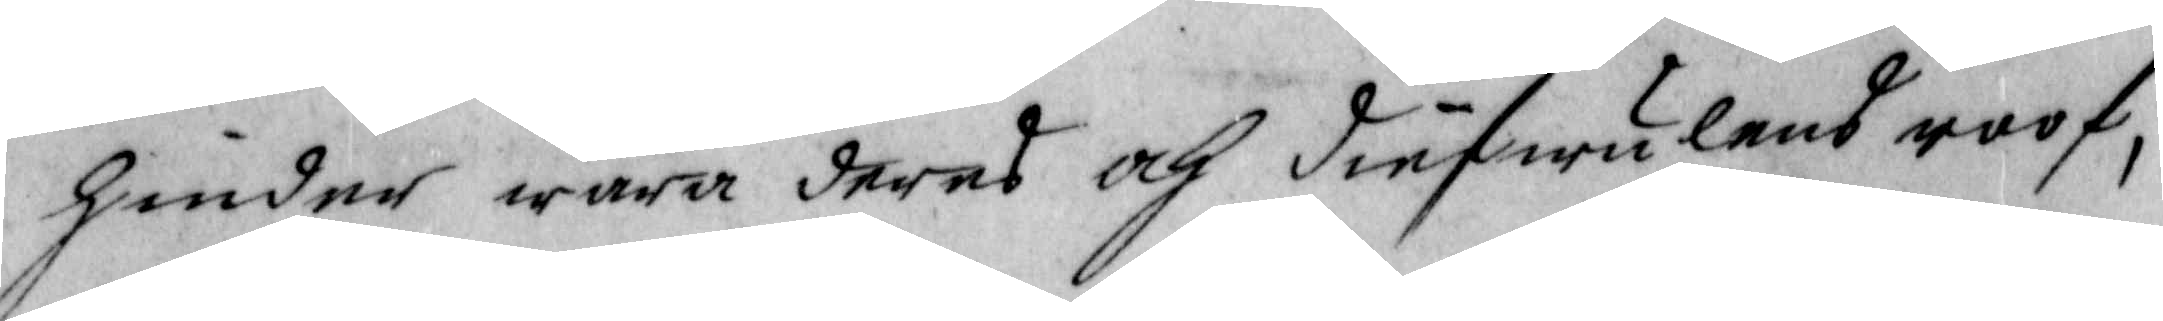hinder wara deras och diefwulens roof,
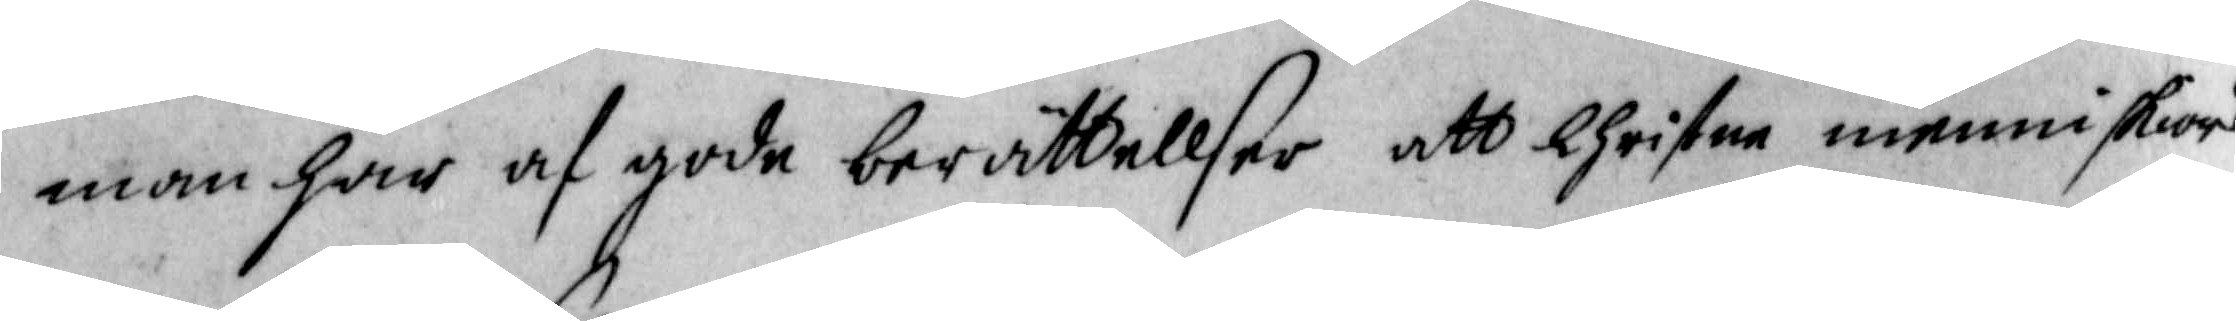man har af gode berättellser att Christne menniskiors
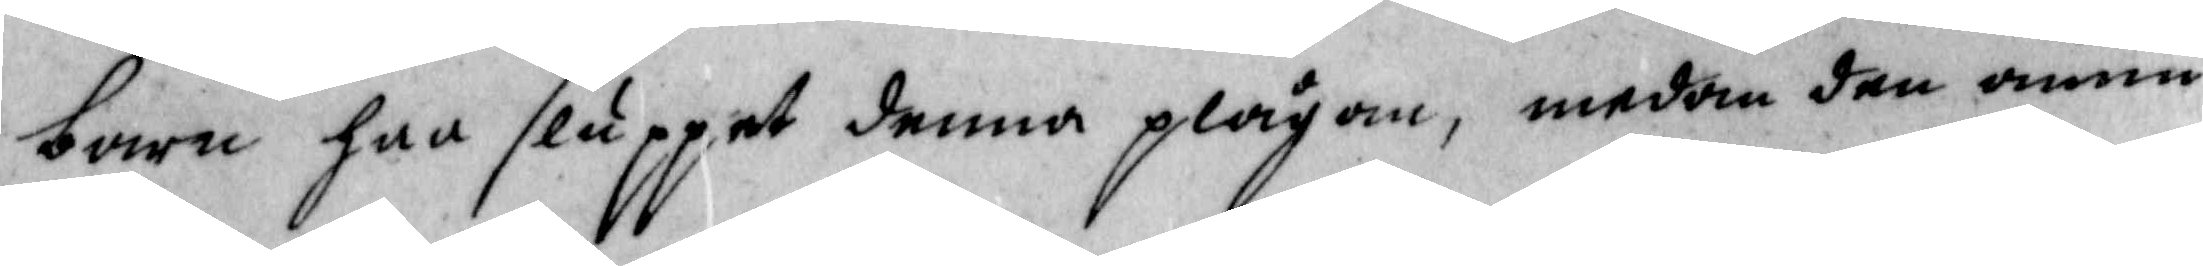barn har sluppit denna plågan, medan den ännu
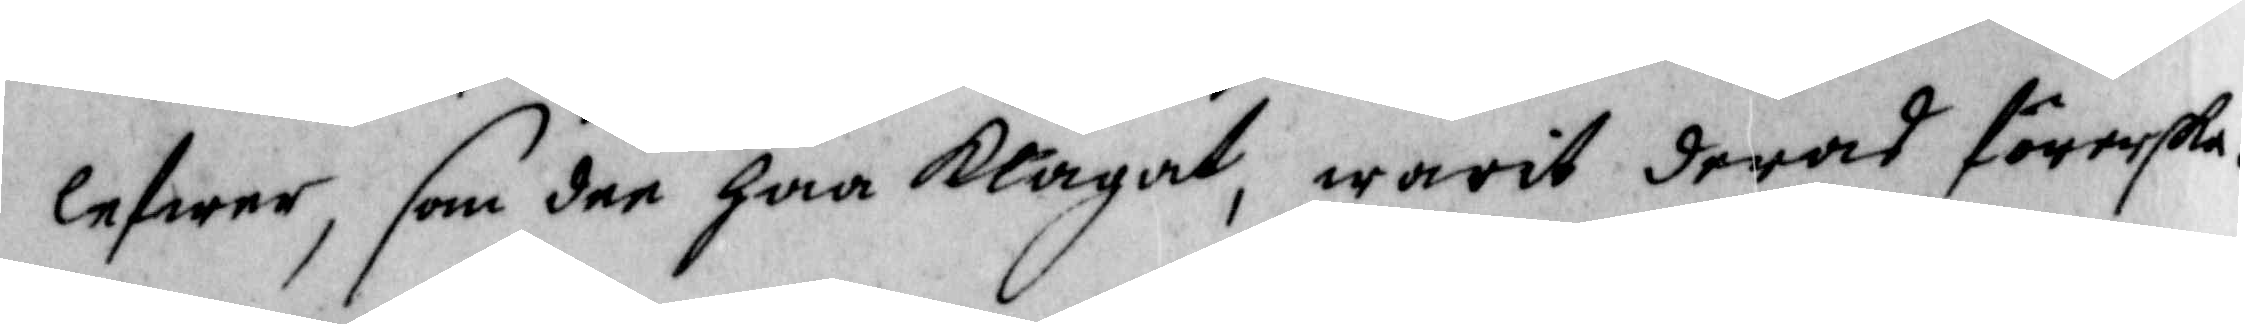lefwer, som dee har klagat, warit deras förerska.
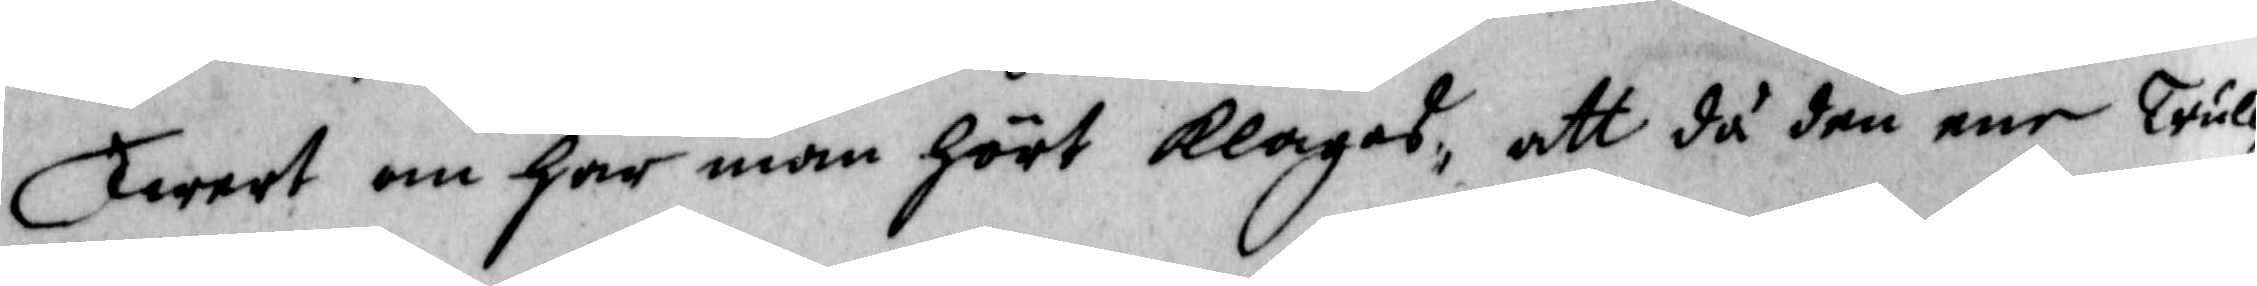Twert om har man hört klagas, att då den ene Trull¬
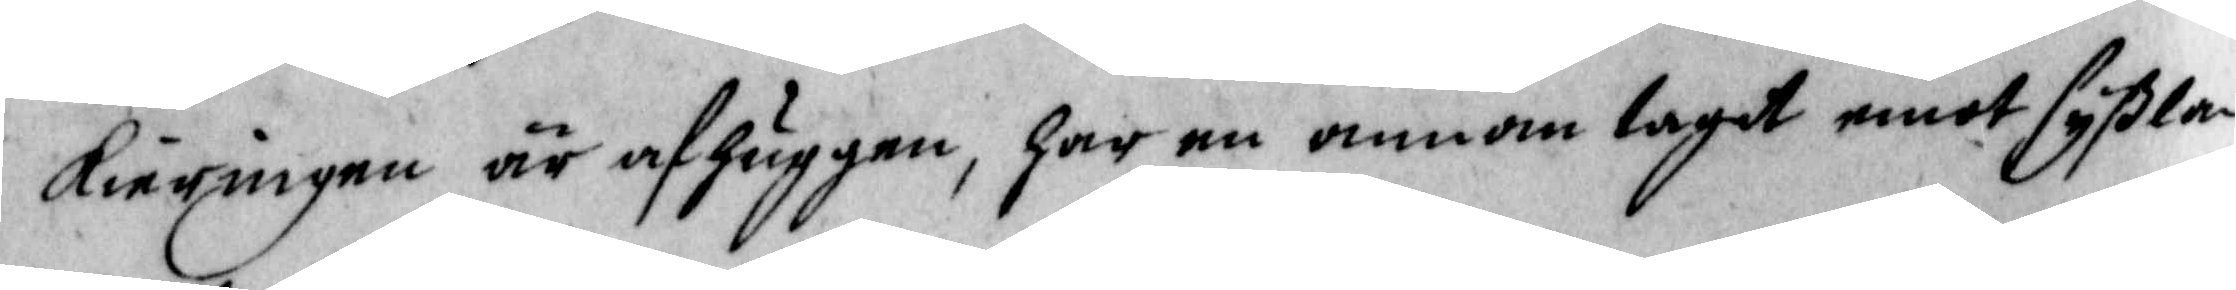kiäringen är afhuggen, har en annan tagit emot syßla
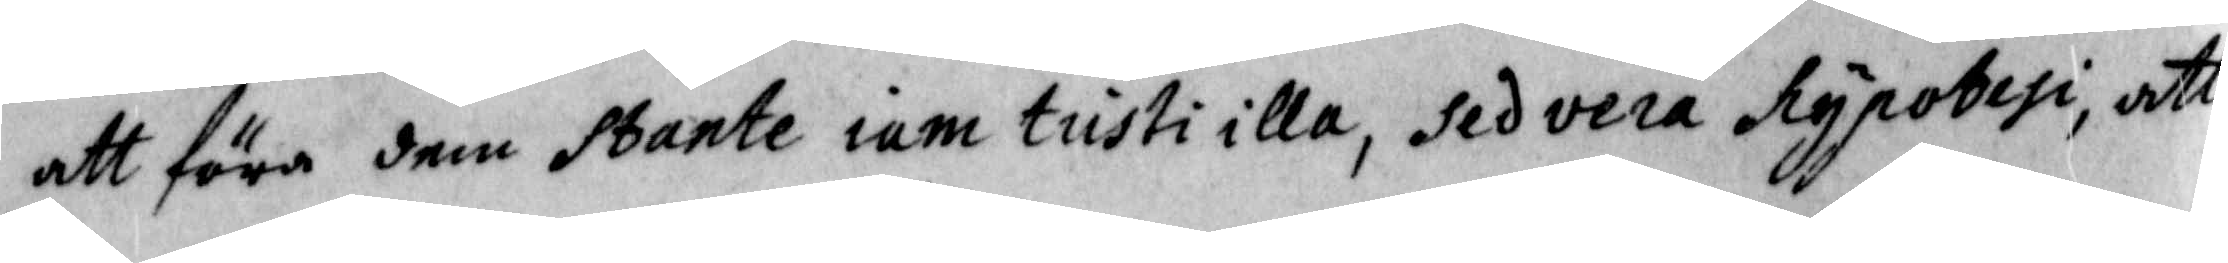att föra dem Sbante iam tusti illa, sedvera Nypobesi, att
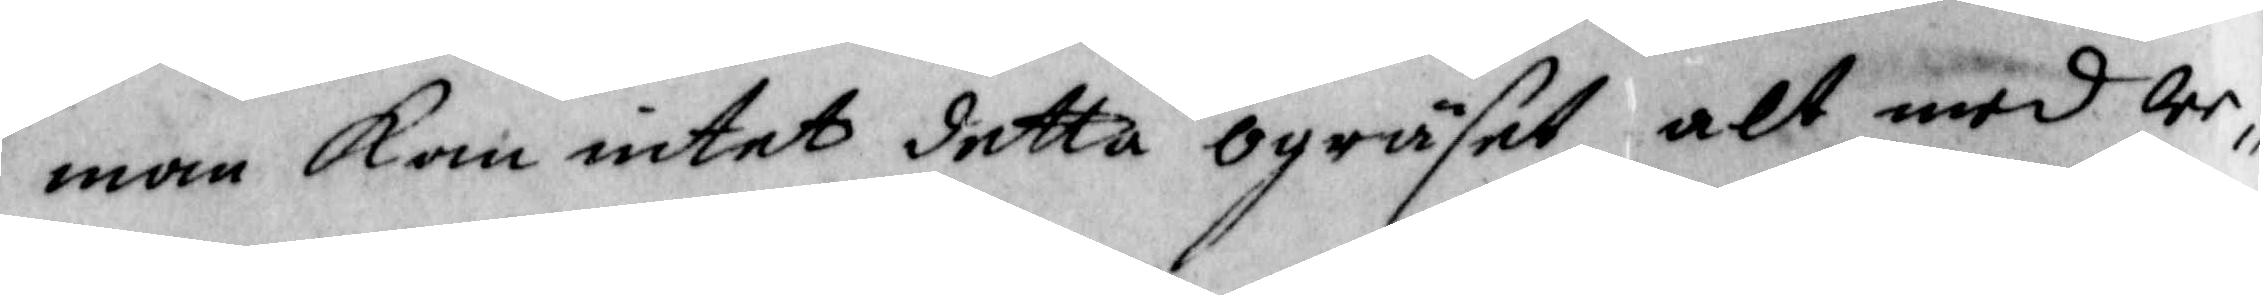man kan intet detta ogräset alt med we¬
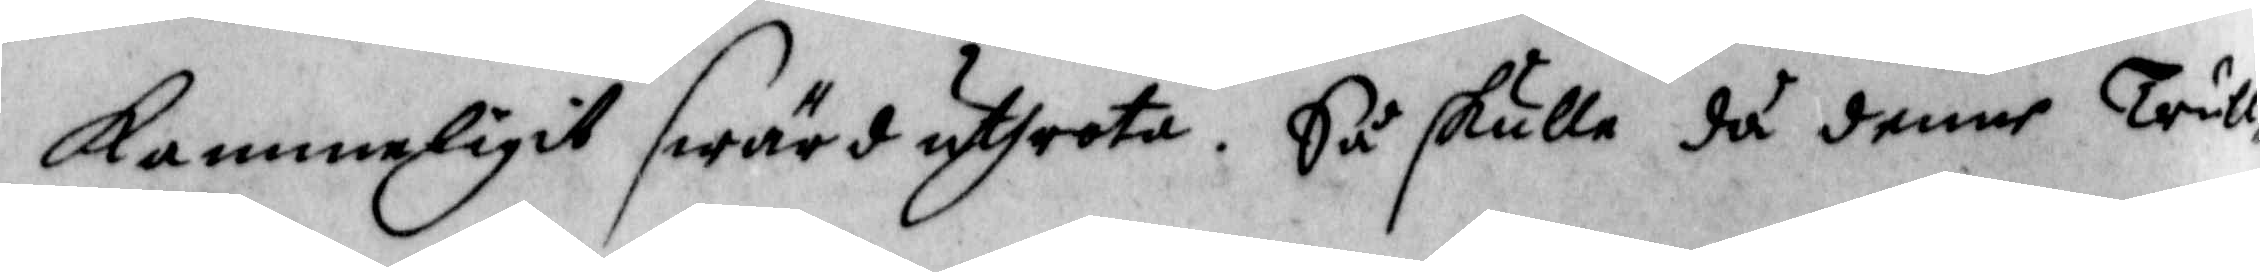kammerligir swärd uthrota. Så skulle ju denne Trull¬
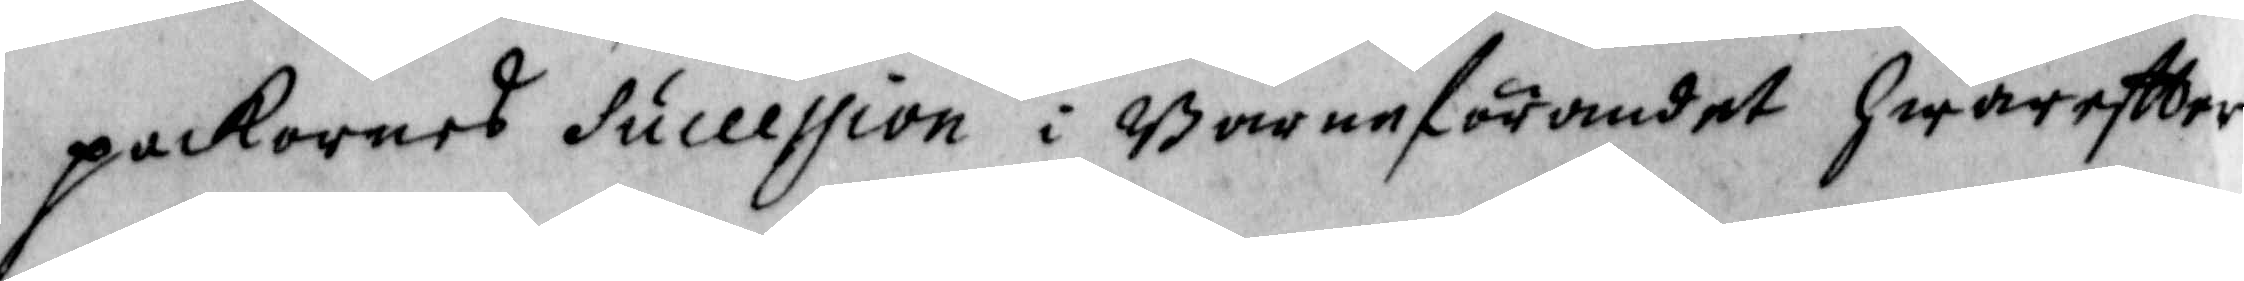packornes Suceession i Barneförandet hwarefter
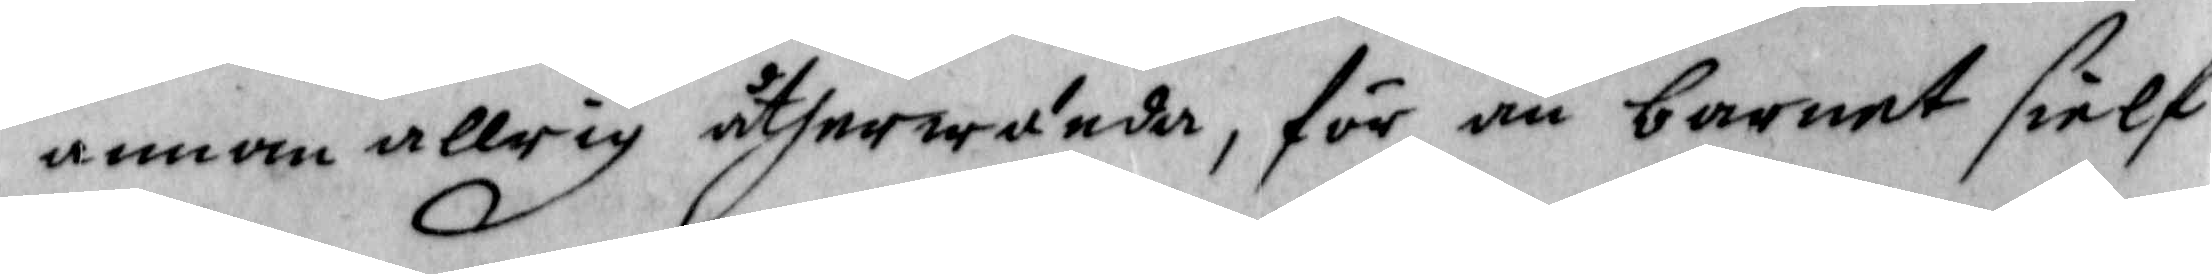annan allrig åtherwända, för än barnet sielf
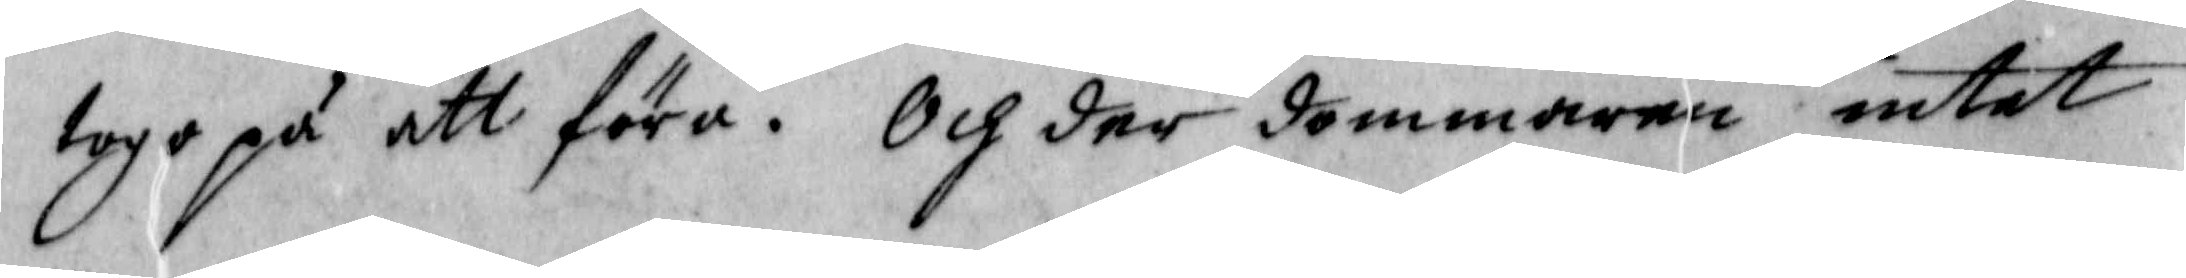togo på att föra. Och der dommaren intet
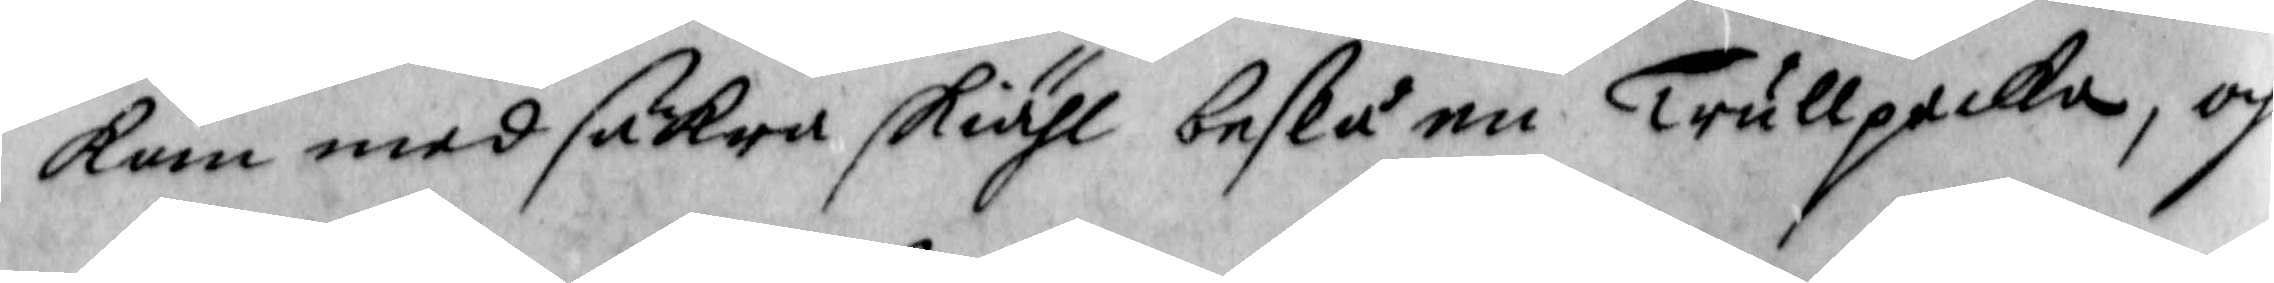kan med säkre skiähl beslå en Trullpacka, och
